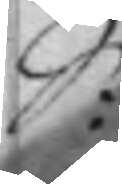S:
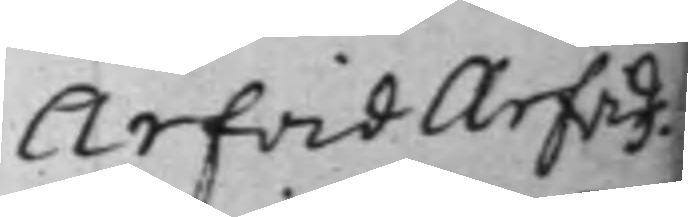Arfvid Arfvids¬
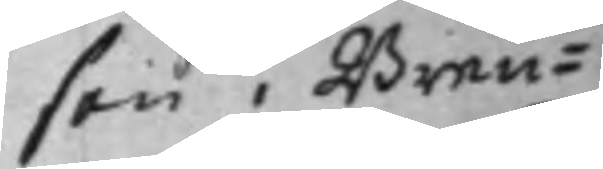son i Bren¬
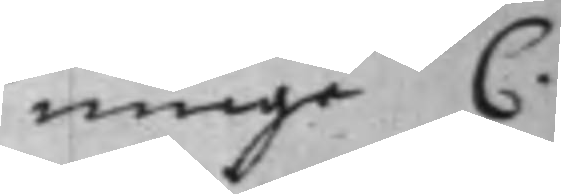ninge C.
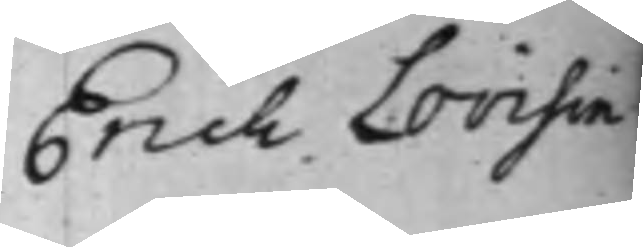Erich Lovisin
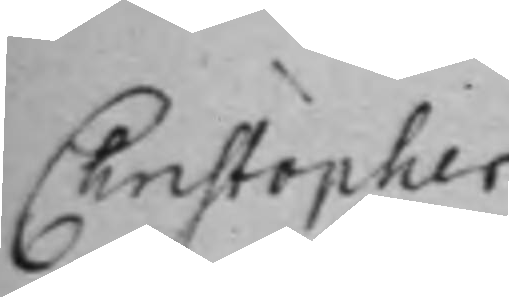Christopher
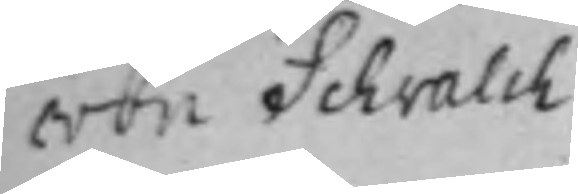von Schvalch
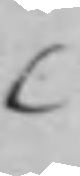C
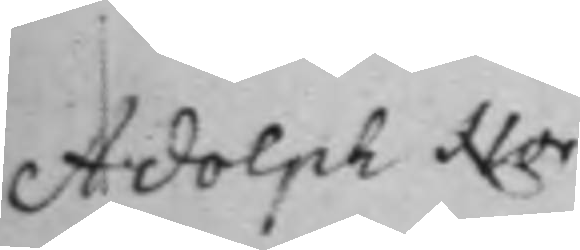Adolph Nor¬
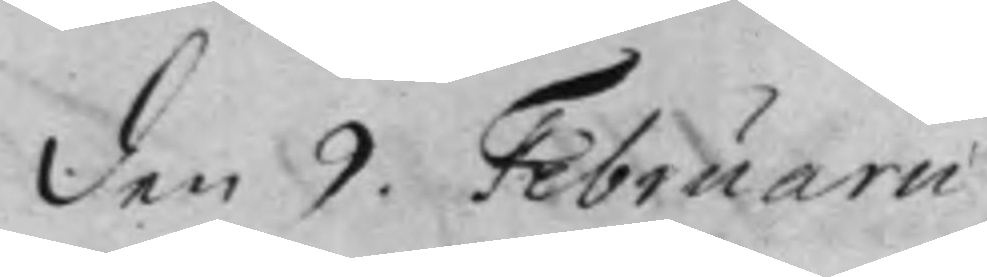den 9. Februarii.
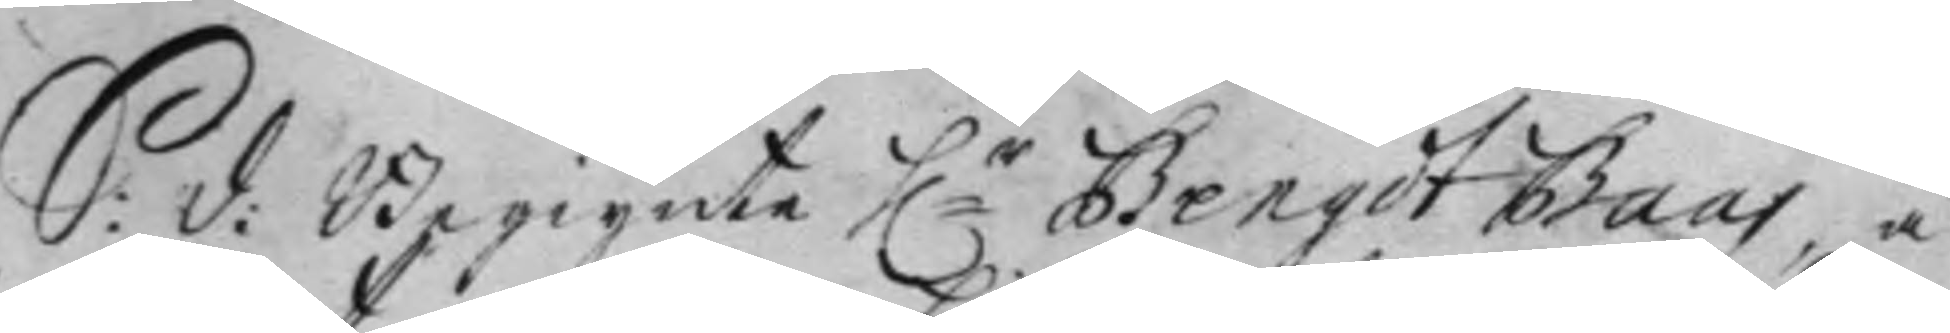S: d: Begynte h:r Bengt Baas, å
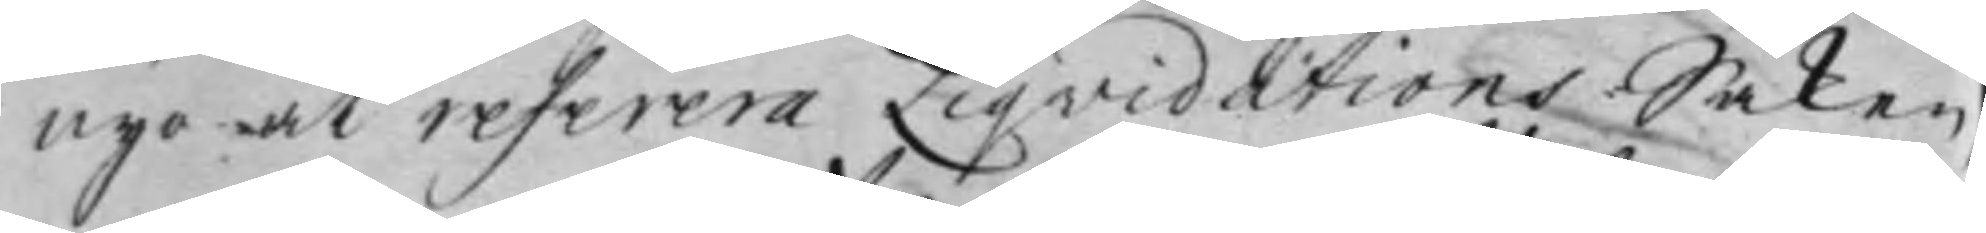nyo at referera Liqvidations Saken,
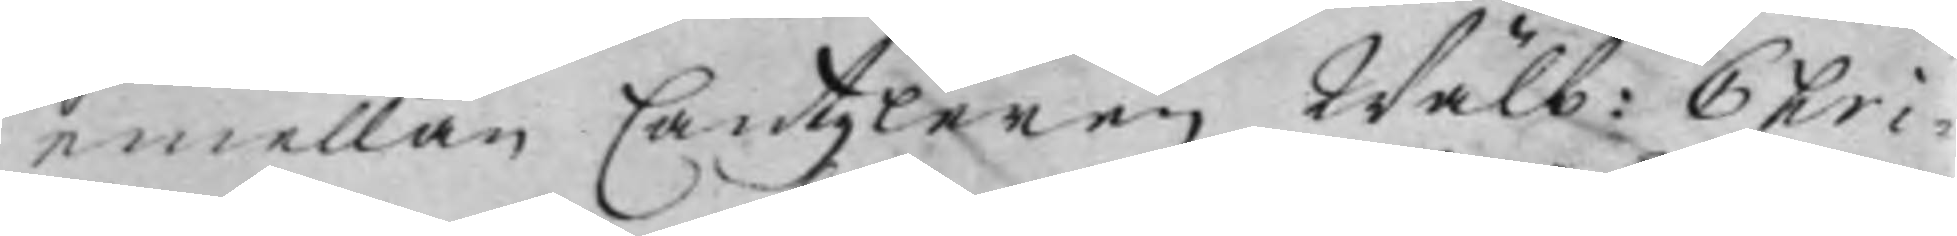emellan Cantzleren Wälb: Chri¬
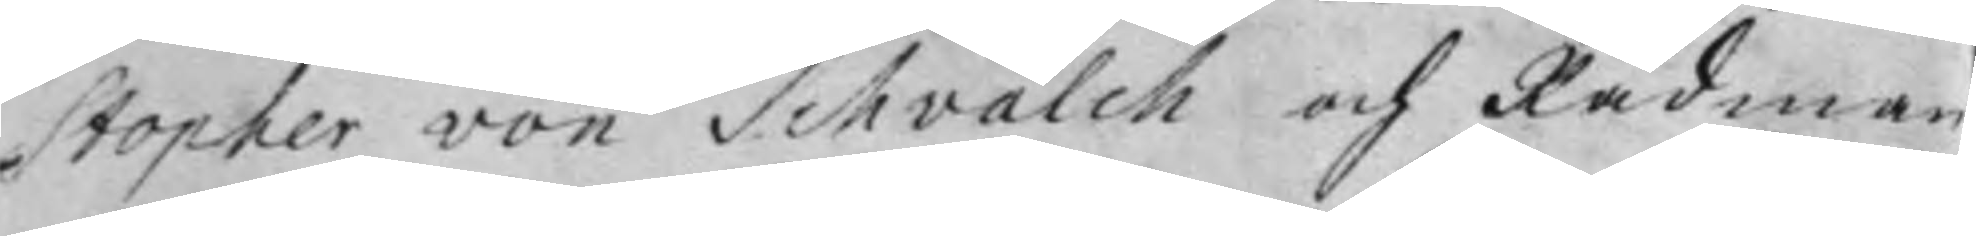stopher von Schvalch och Rådman¬
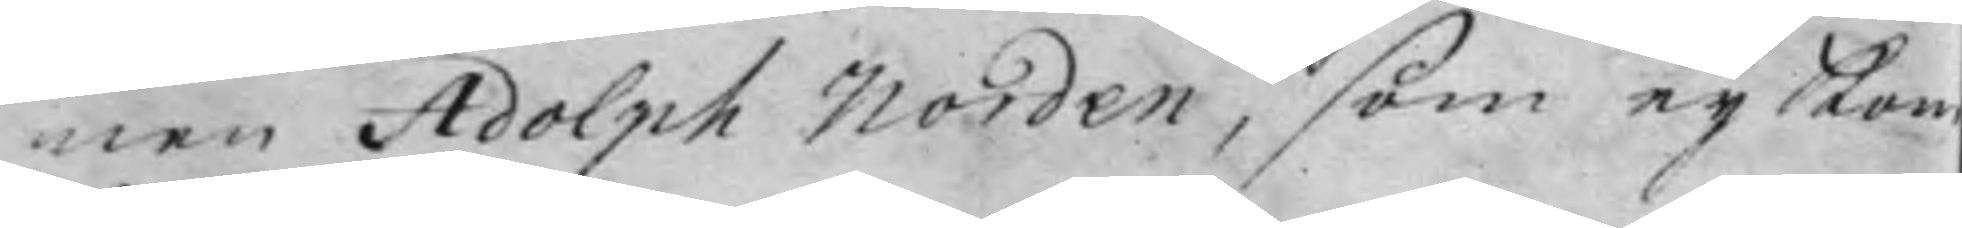nen Adolph Norden, som ey kom
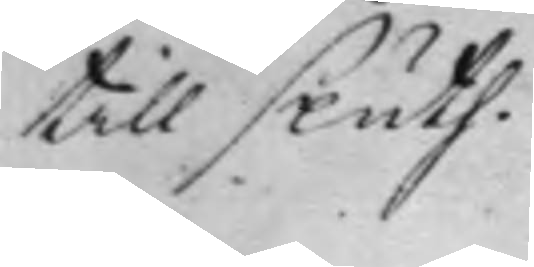till sluth.
